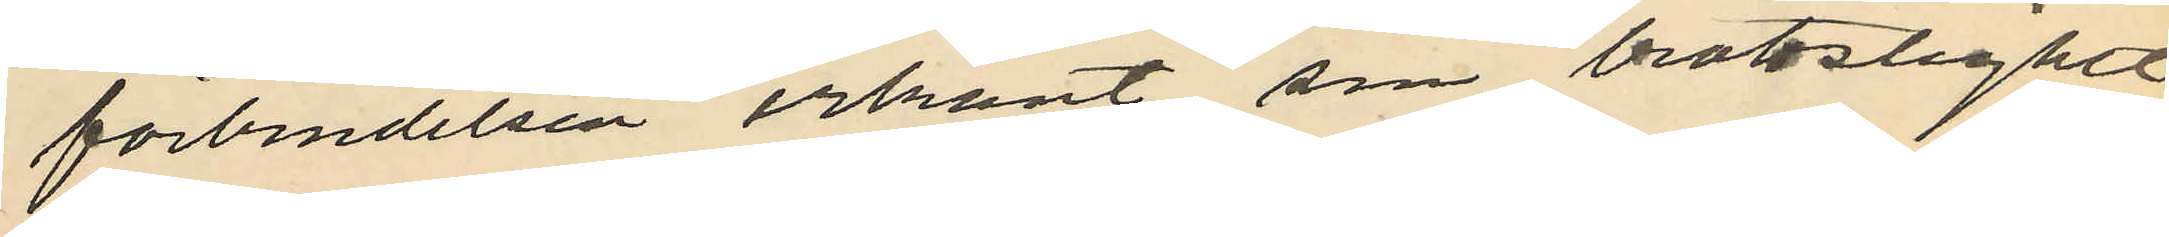förbindelsen erkänt sin brottslighet
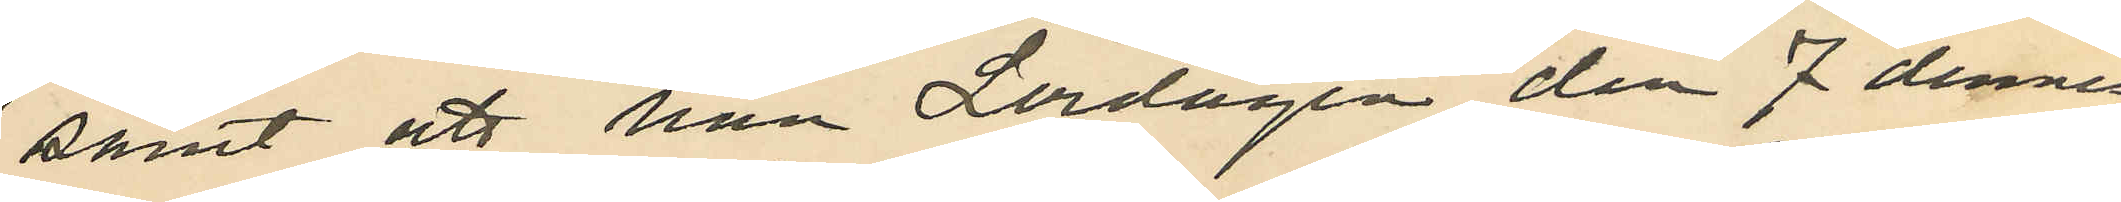samt att han Lördagen den 7 dennes
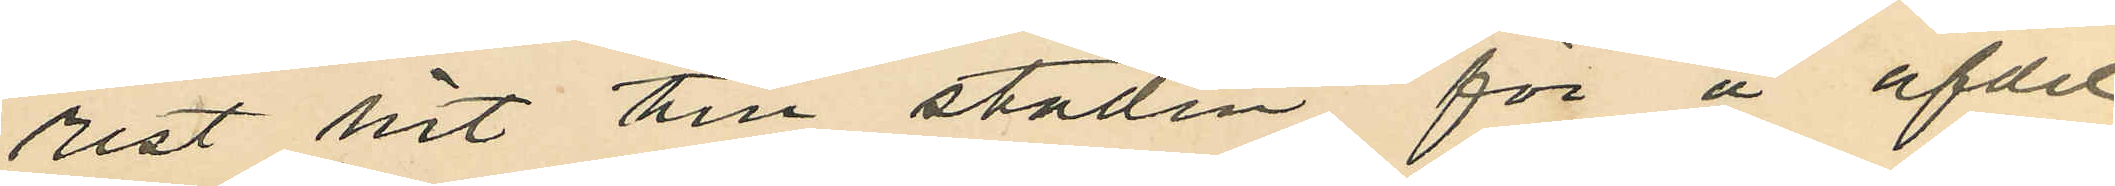rest hit till staden för å afdel¬
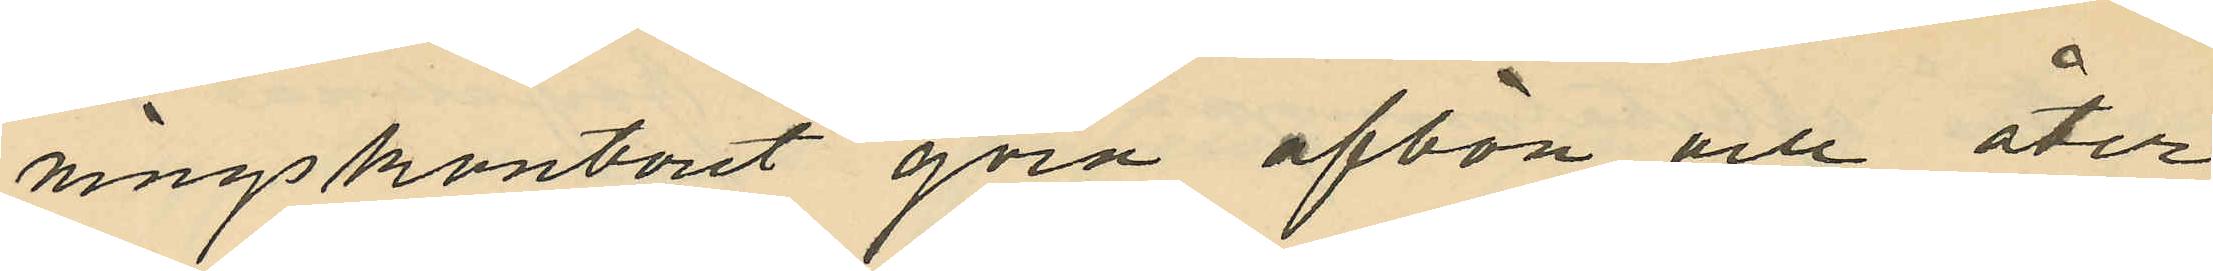ningskontoret göra afbön och åter¬
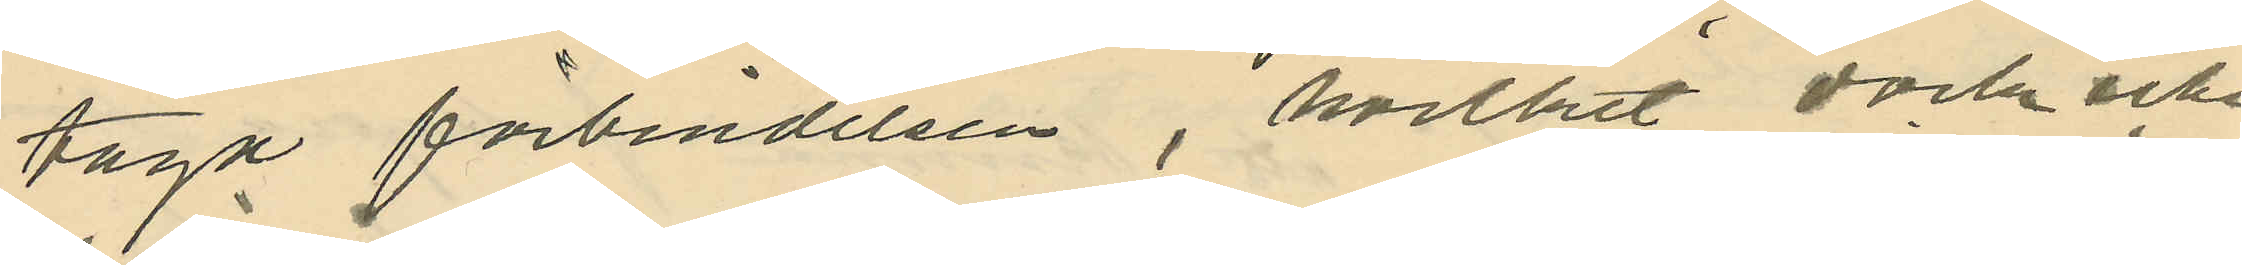taga förbindelsen, hvilket dock icke
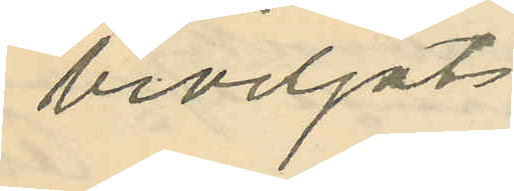beviljats
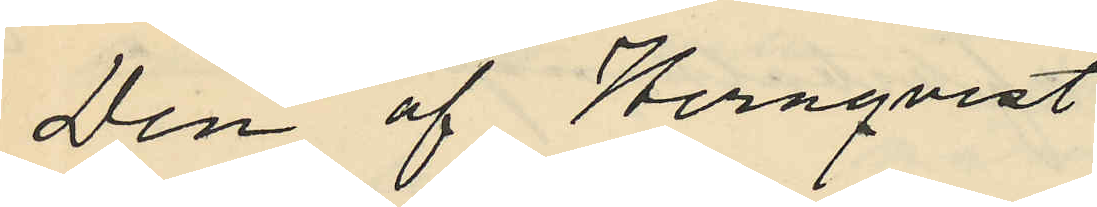Den af Wernqvist
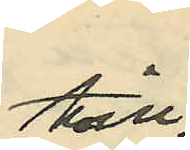till
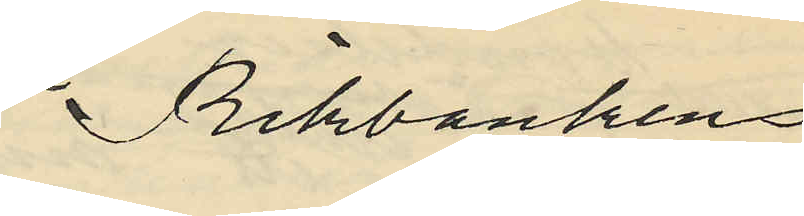Riksbanken
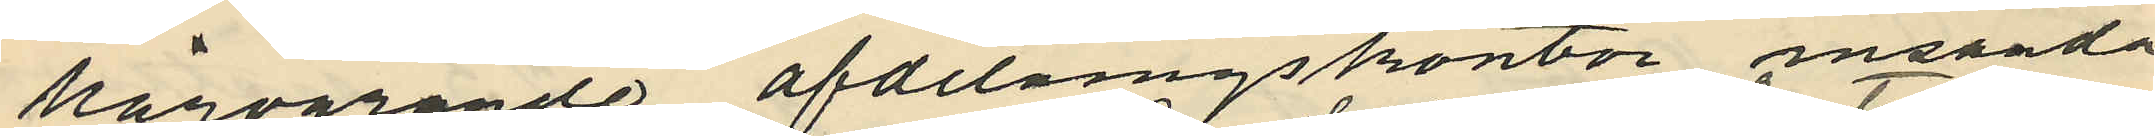härvarande afdelningskontor insända
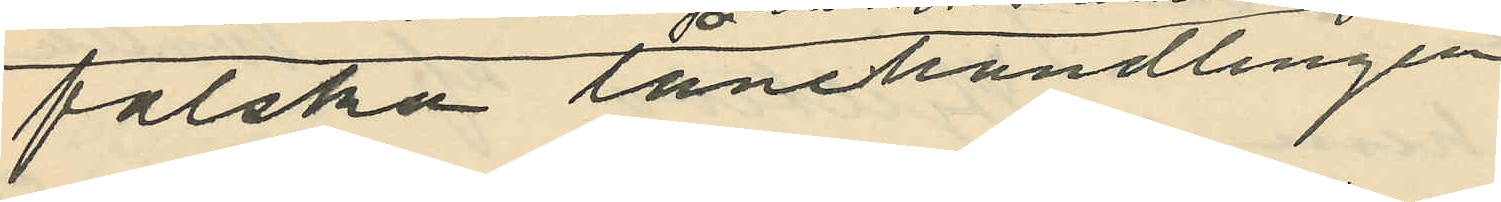falska lånehandlingen
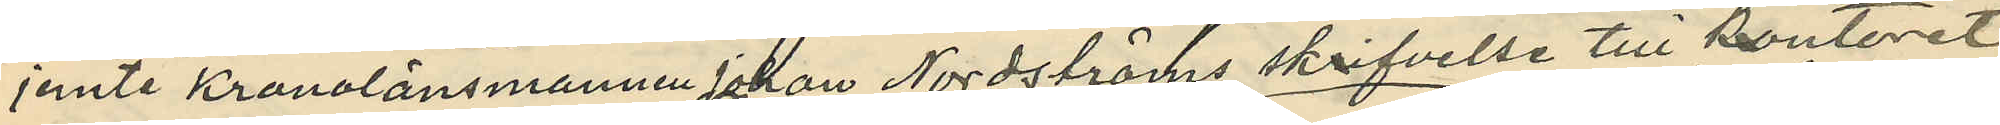jemte Kronolänsmannen Johan Nordströms skrifvelse till kontoret
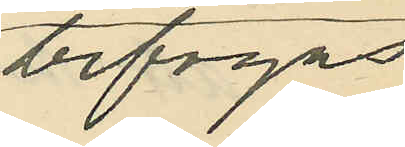bifogas.
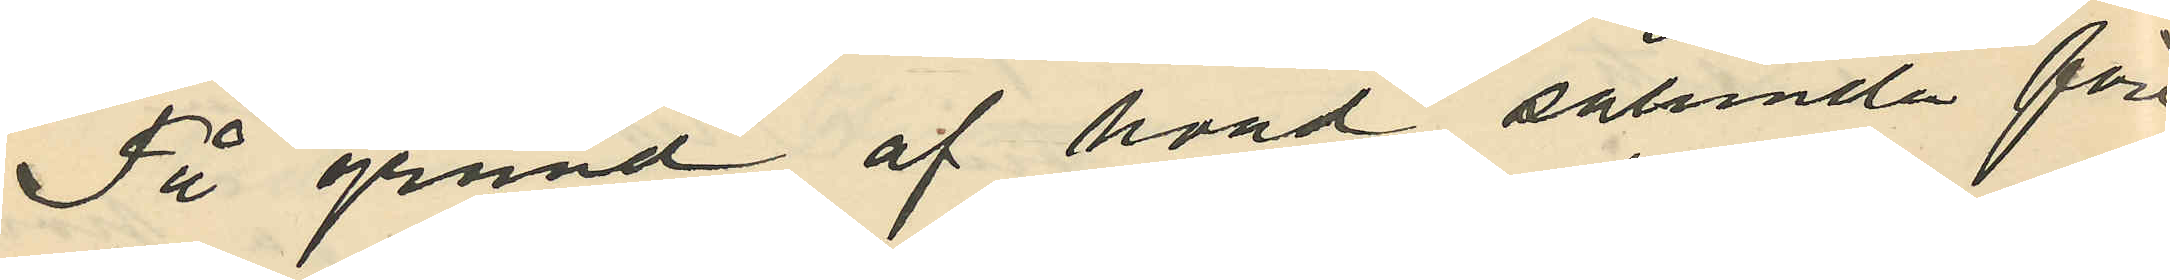På grund af hvad sålunda före¬
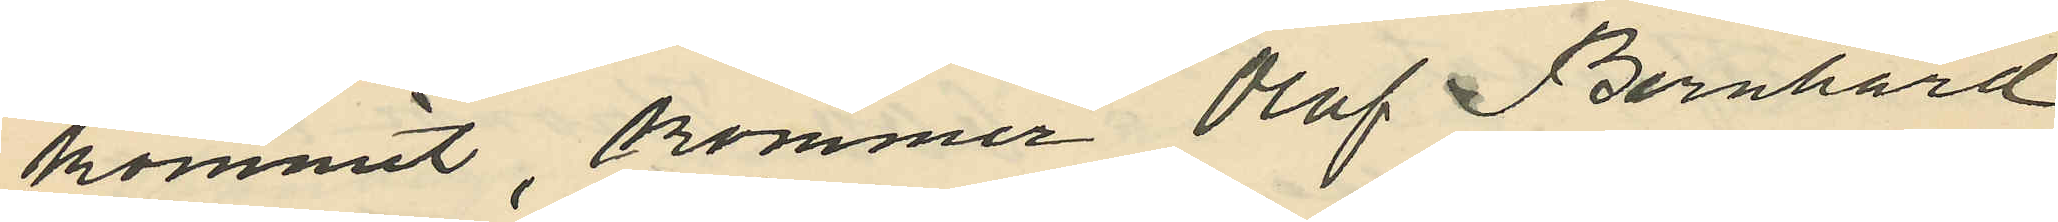kommit kommer Olof Bernhard
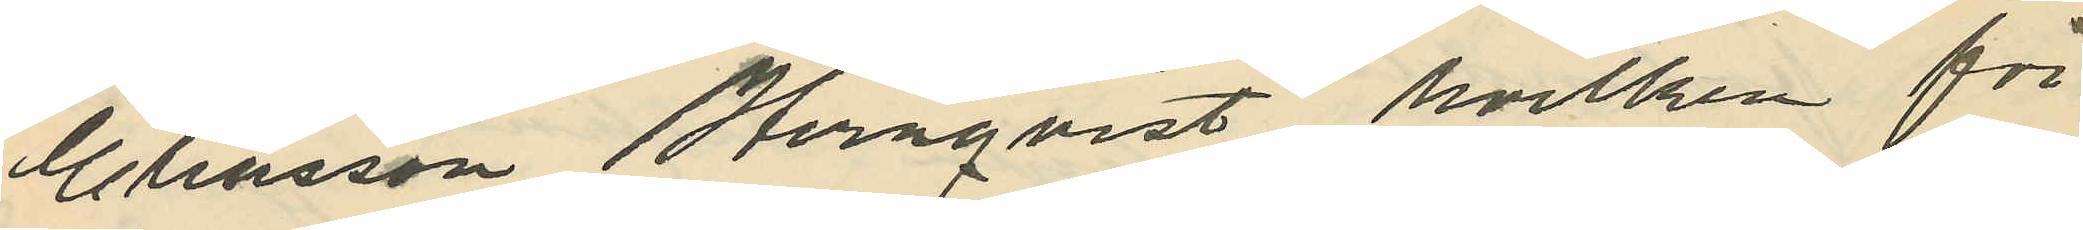Eliasson Wernqvist, hvilken för¬
